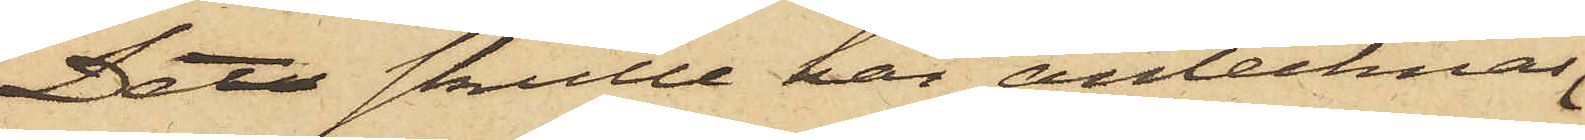Det skulle här antecknas
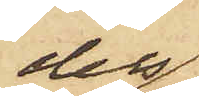dels
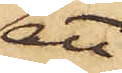att
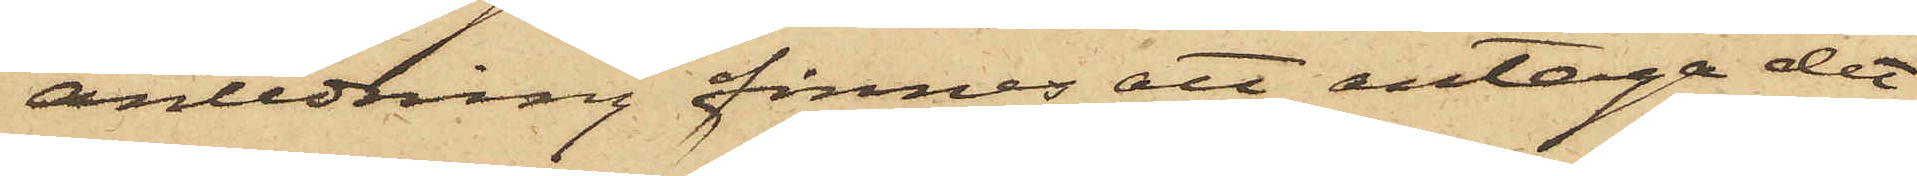anledning finnes att antaga det
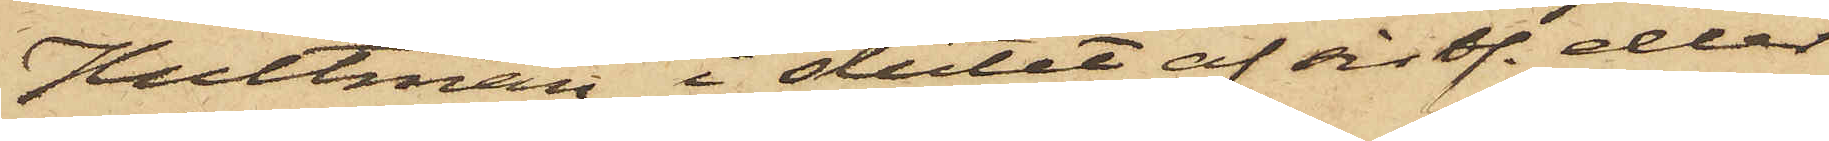Hultman i slutet af sistl. eller
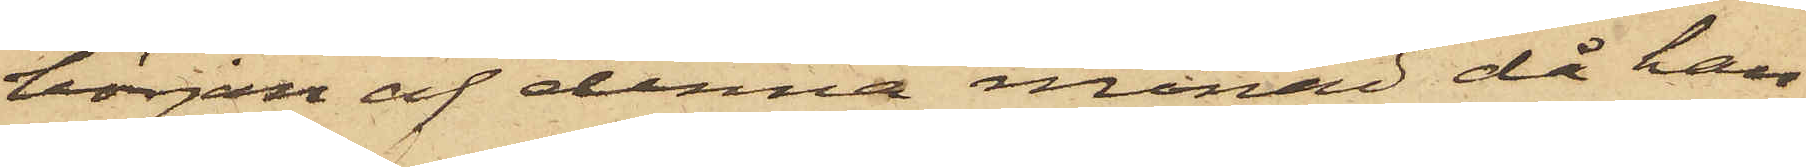början af denna månad då han
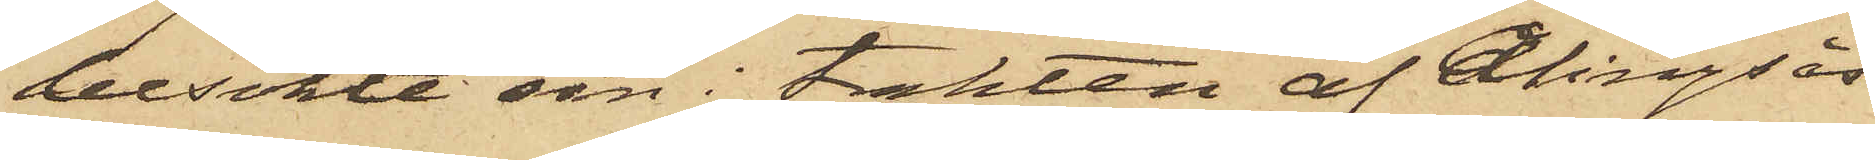besökte sin i trakten af Alingsås
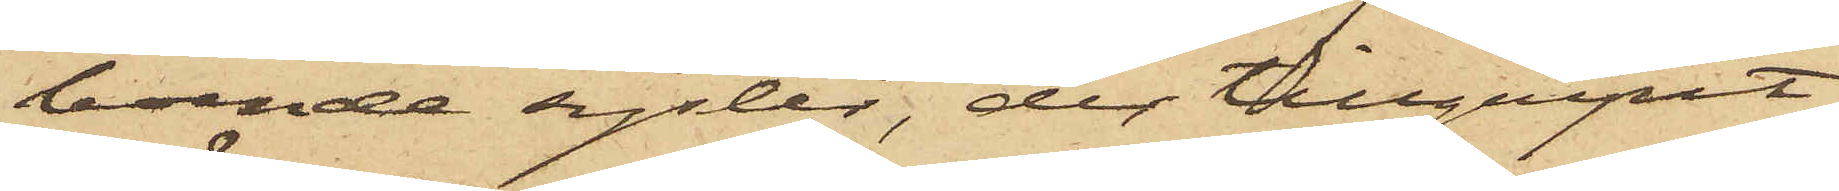boende syster, der tillgripit
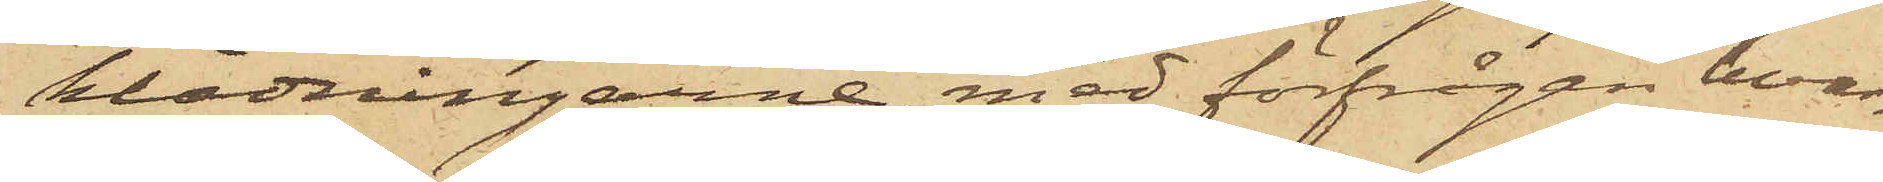klädningarne, med förfrågan hvar¬
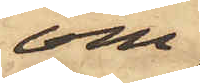om
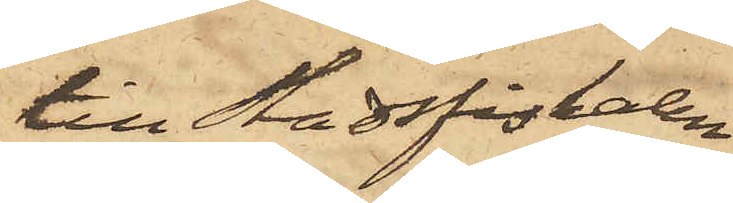till Stadsfiskalen
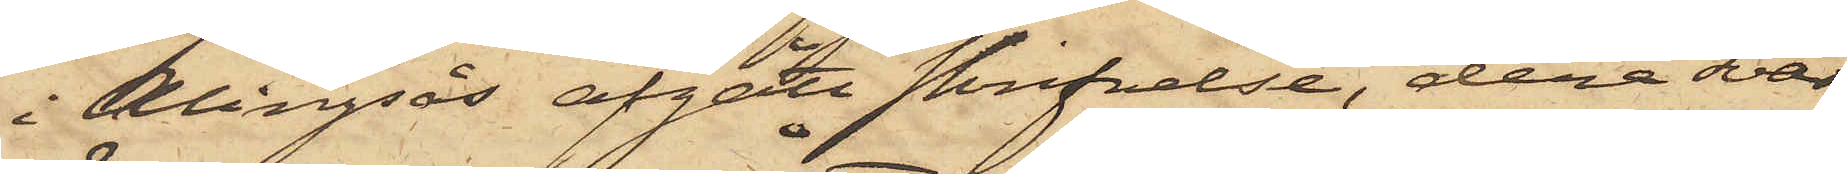i Alingsås afgått skrifvelse, derå svar
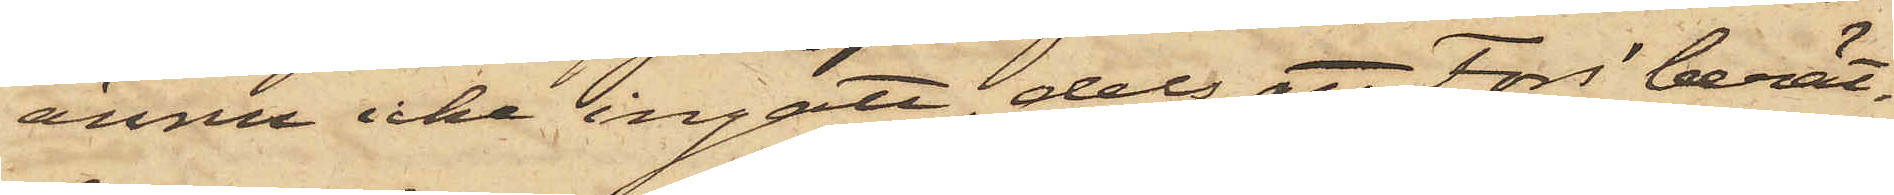ännu icke ingått, dels att Fors berät¬
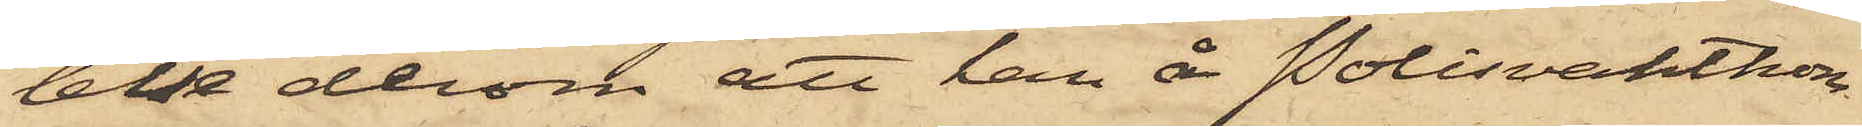telse derom att han å Polisvaktkon¬
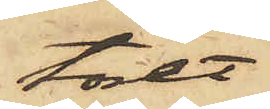toret
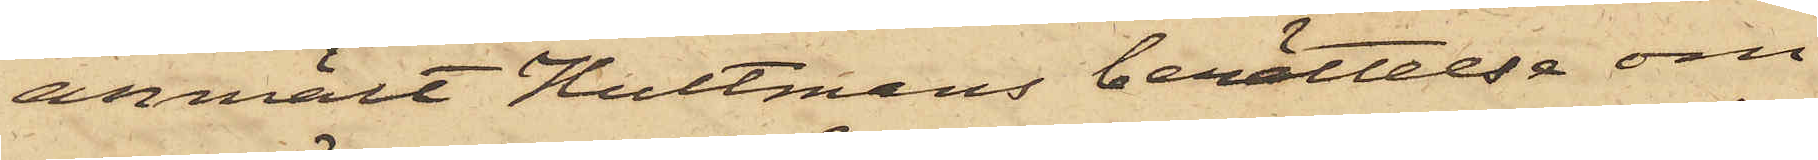anmält Hultmans berättelse om
